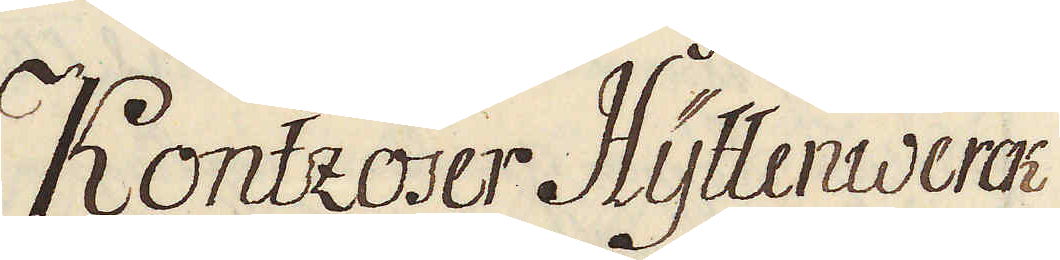Kontzoser Hyttenwerck
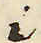i
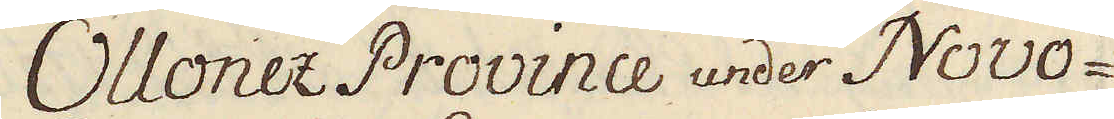Ollonez Province under Novo-
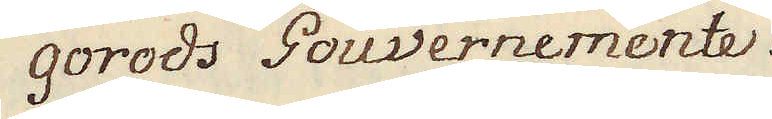gorods Gouvernemente
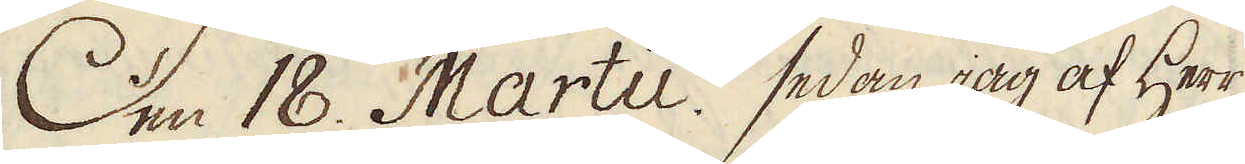Den 18. Martii. sedan jag af Herr
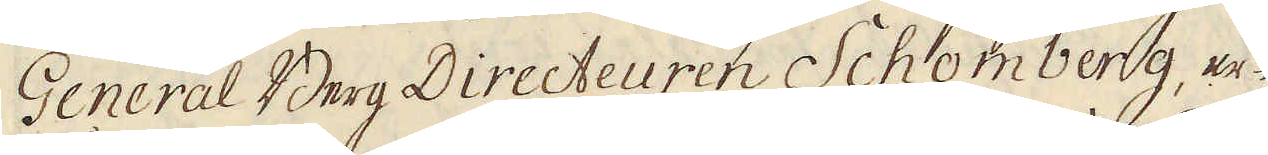General Berg Directeuren Schömberg, er-
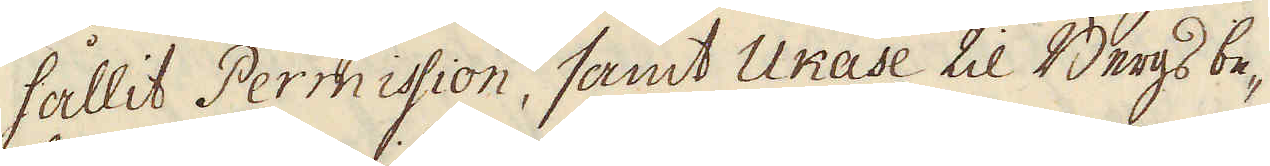hållit Permission, samt Ukase til Bergs be-
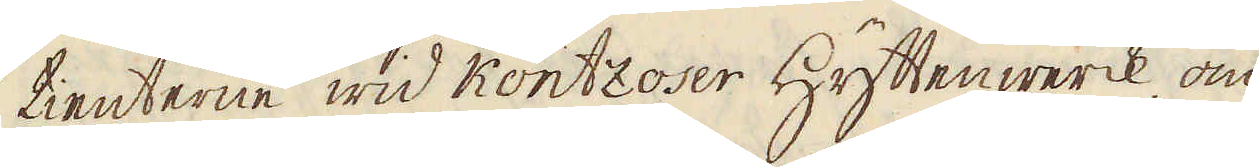tienterne wid Kontzoser Hyttenwerck, om
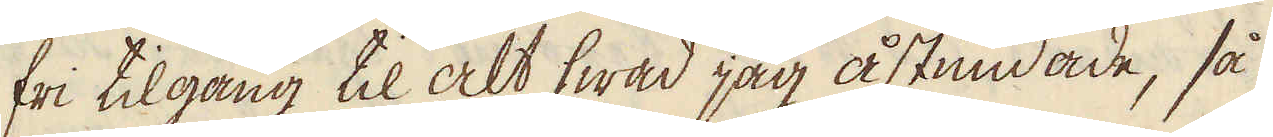fri tilgång til alt hwad jag åstundade, så
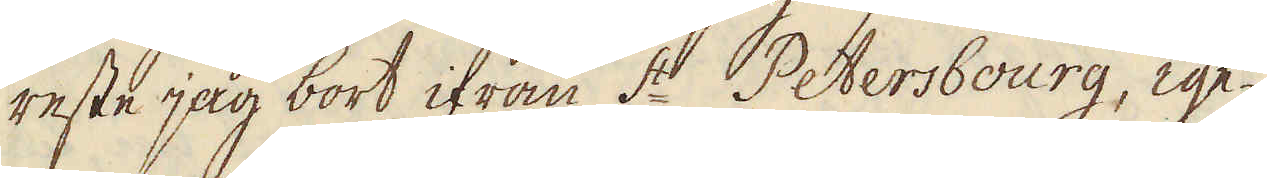reste jag bort ifrån S:t Petersbourg, ige-
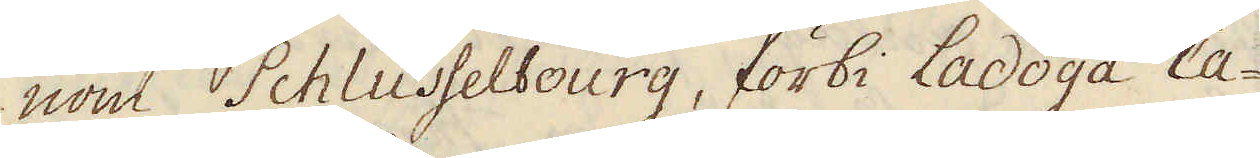nom Schlüsselbourg, förbi Ladoga Ca-
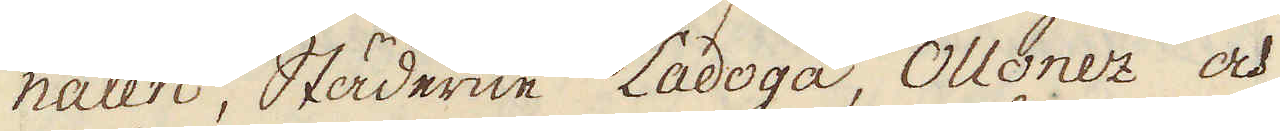nalen, Städerne Ladoga, Ollonez och
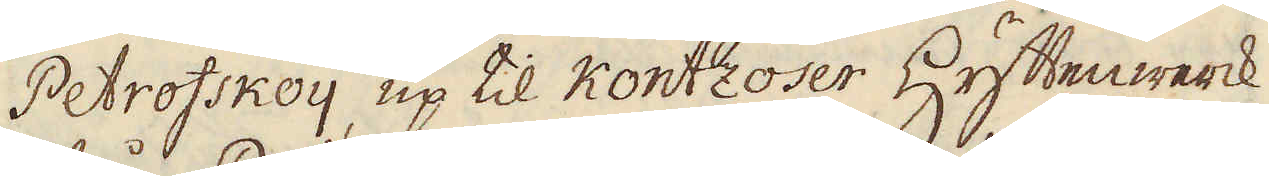Petrofskoij, up til Kontzoser Hyttenwerck
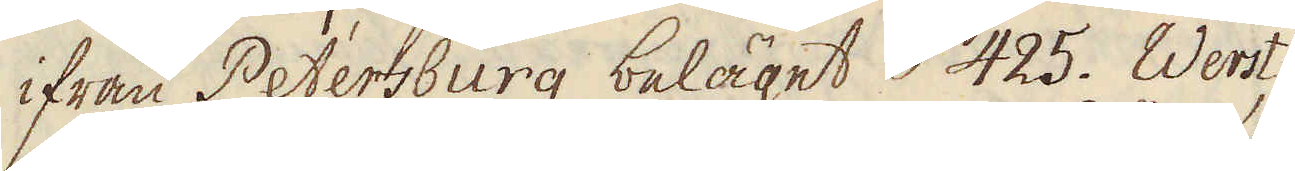ifrån Petersburg beläget 425. Werst,
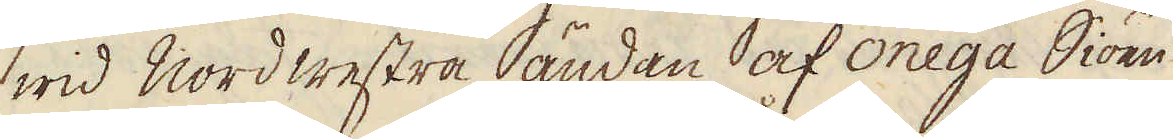wid Nord westra ändan af Onega Siöen
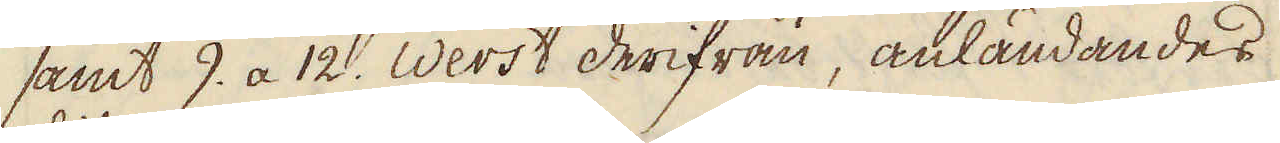samt 9. a 12. Werst derifrån, anländandes
